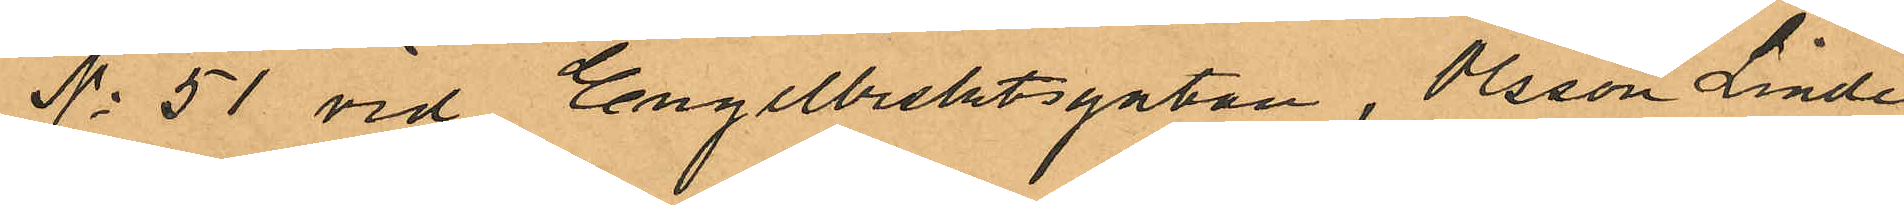No 51 vid Engelbrektsgatan, Olsson Linde
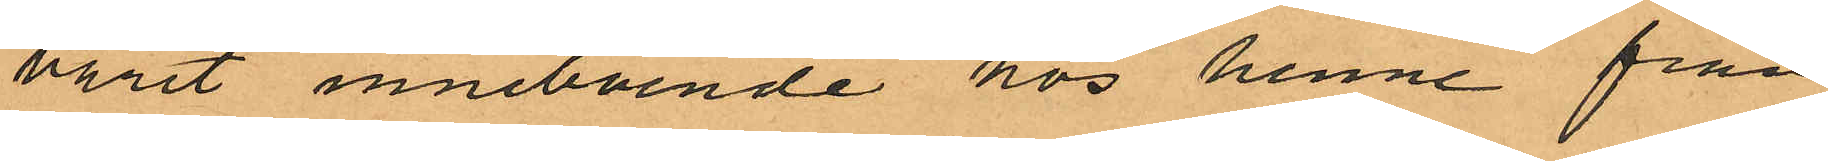varit inneboende hos henne från
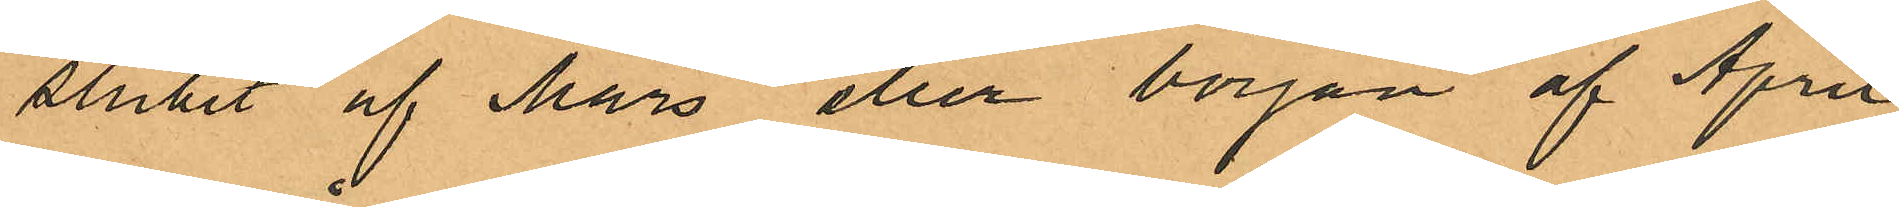slutet af Mars eller början af April
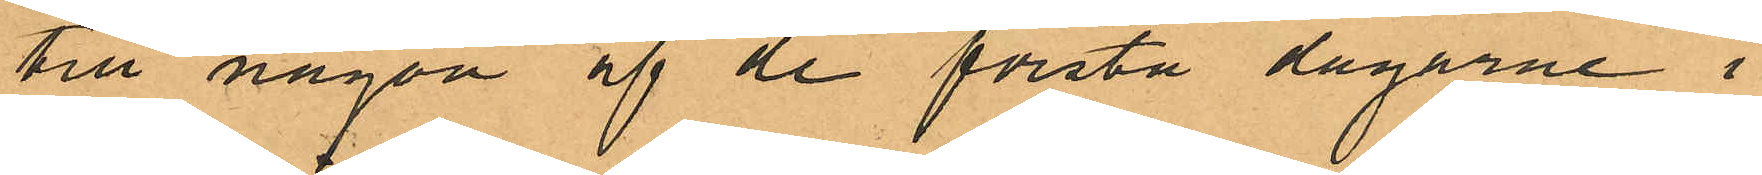till någon af de första dagarne i
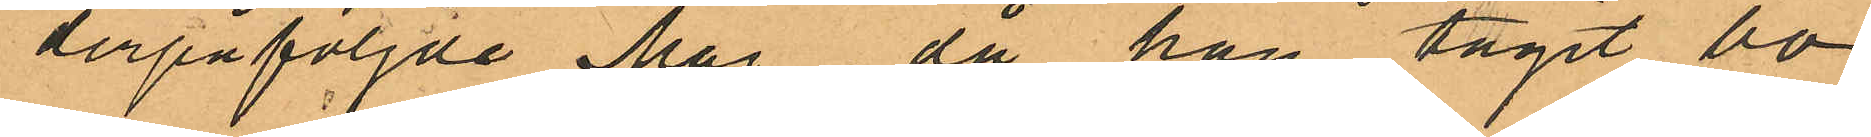derpåföljde Maj, då han tagit bo¬
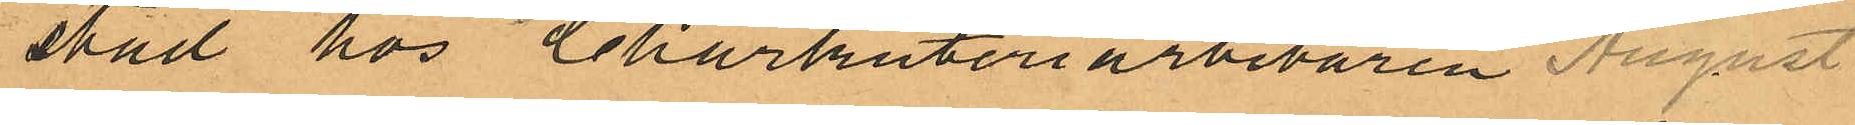stad hos Charkuteriarbetaren August
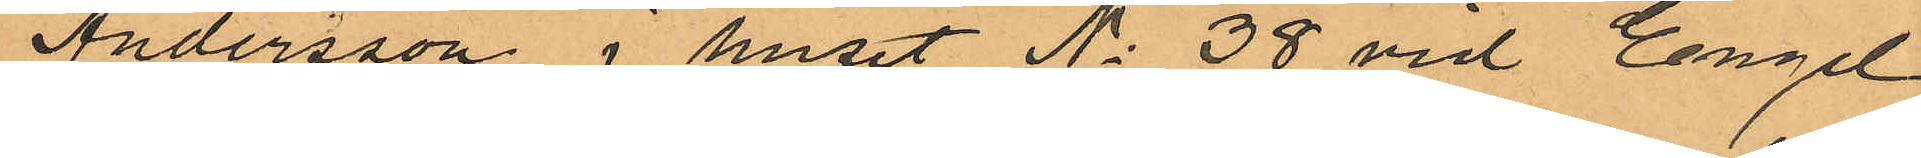Andersson i huset No 38 vid Engel¬
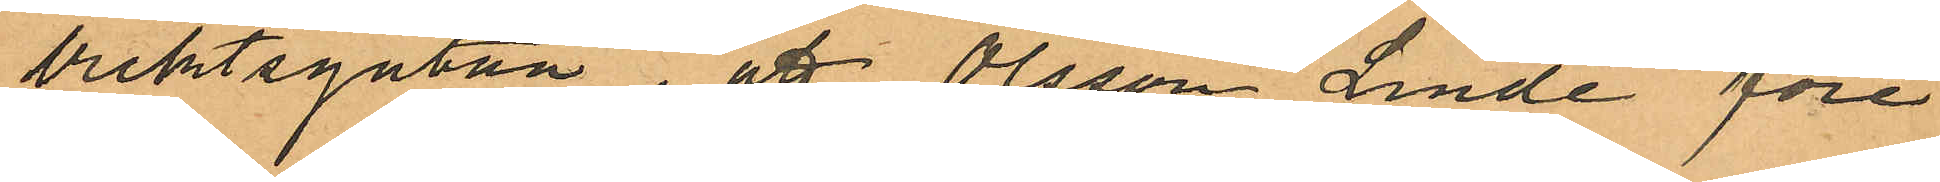brektsgatan, att Olsson Linde före
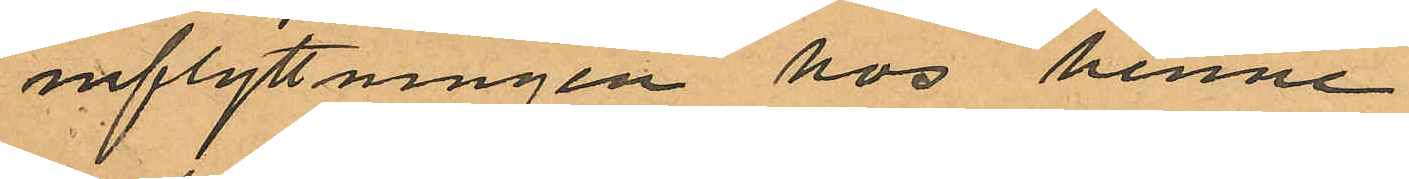inflyttningen hos henne
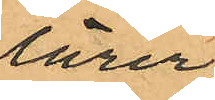lärer
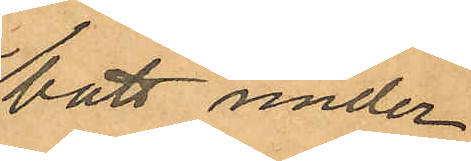bott under
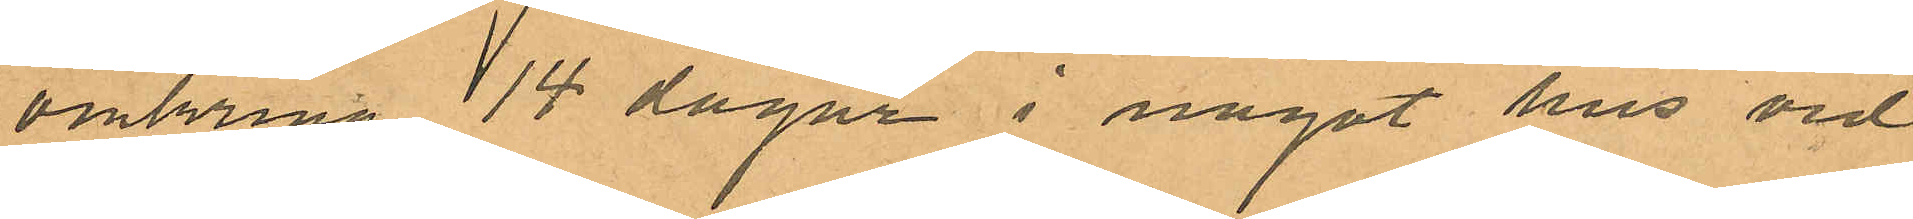omkring 14 dagar i något hus vid
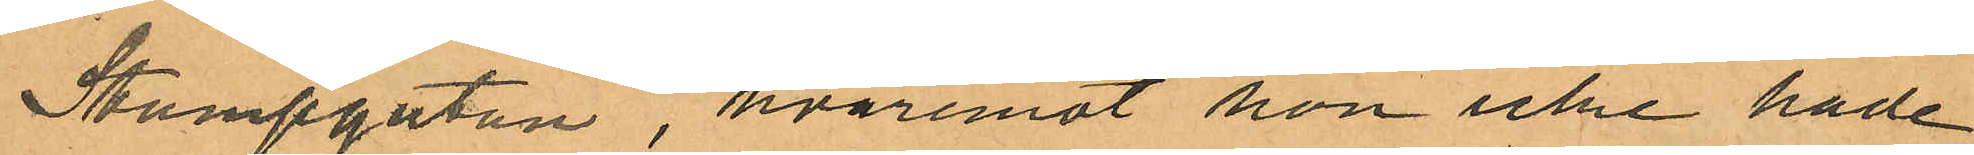Stampgatan, hvaremot hon icke hade
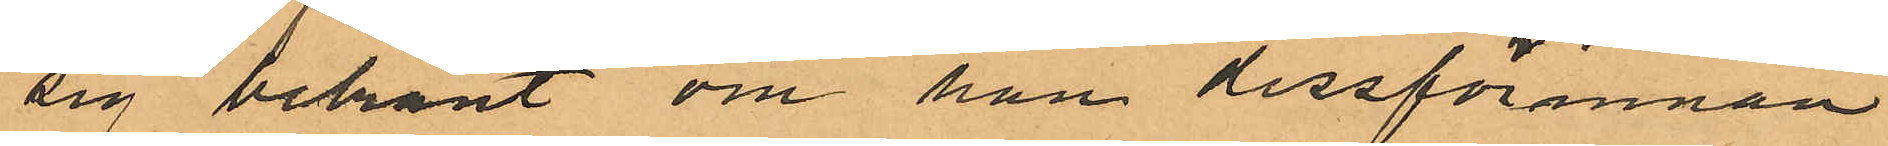sig bekant om han dessförinnan
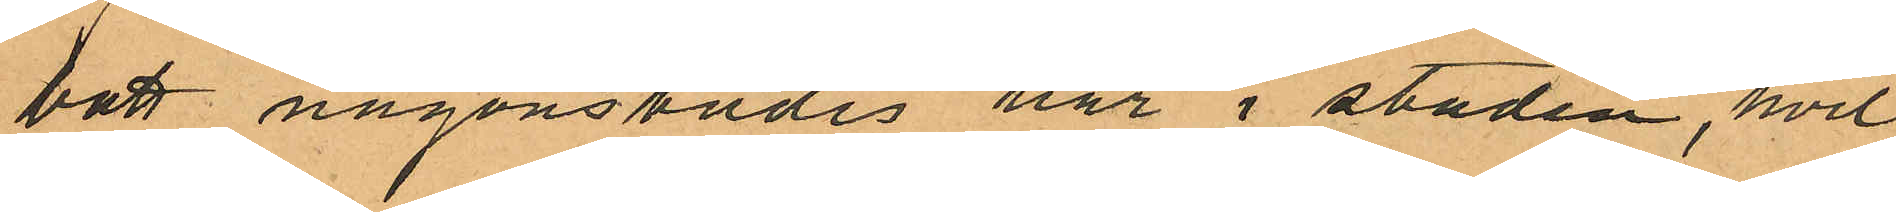bott någonstädes här i staden, hvil¬
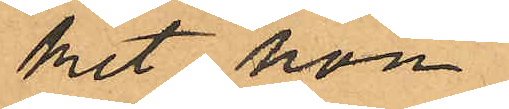ket hon
